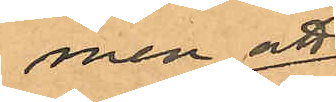men att
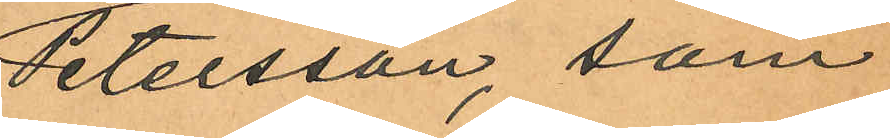Petersson, som
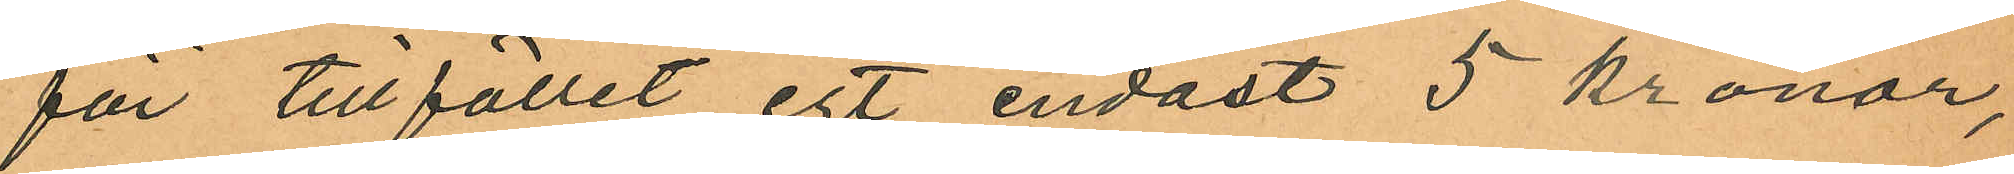för tillfället egt endast 5 kronor,
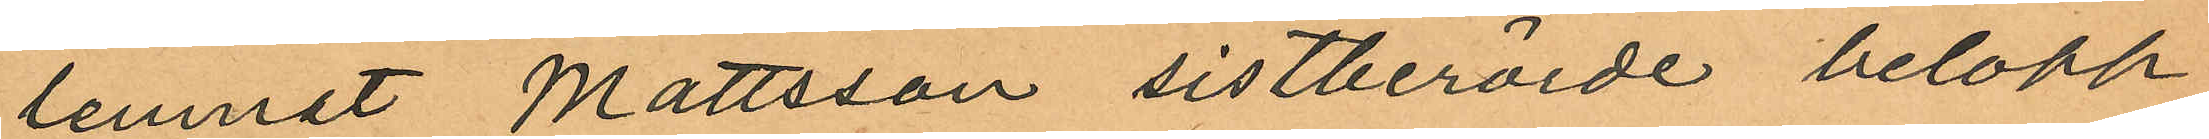lemnat Mattsson sistberörde belopp
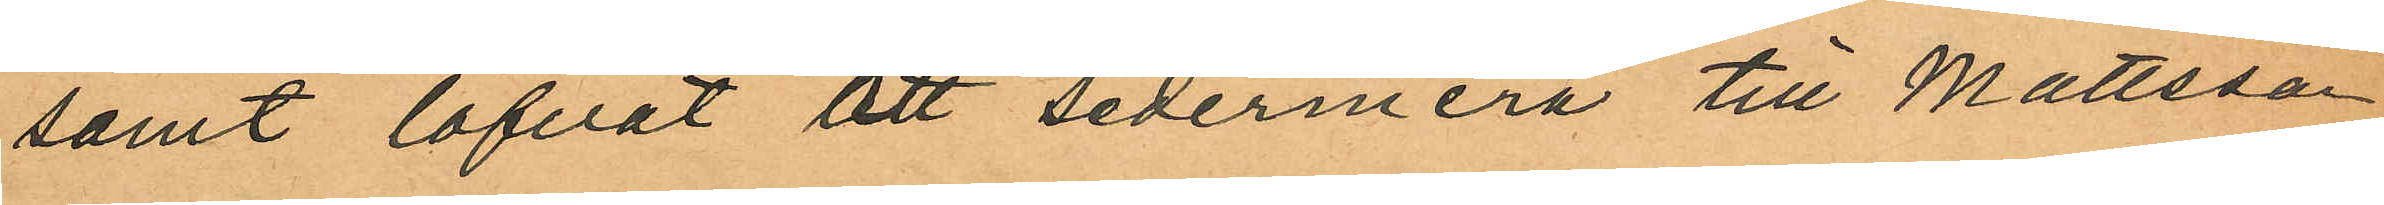samt lofvat att sedermera till Mattsson
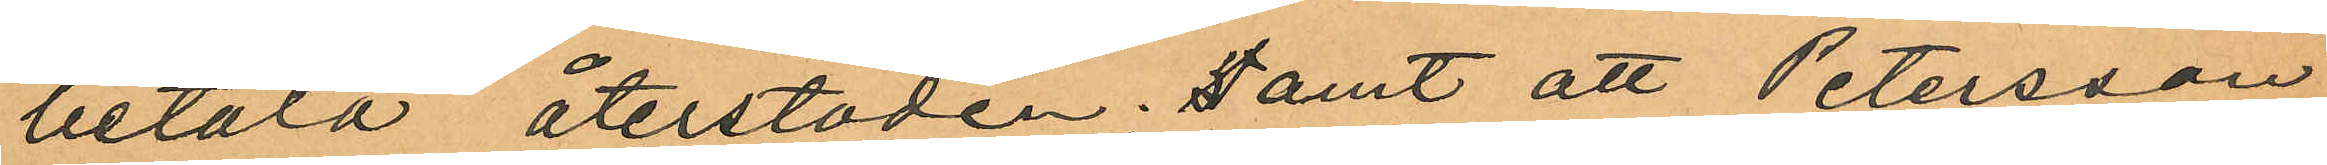betala återstoden; samt att Petersson
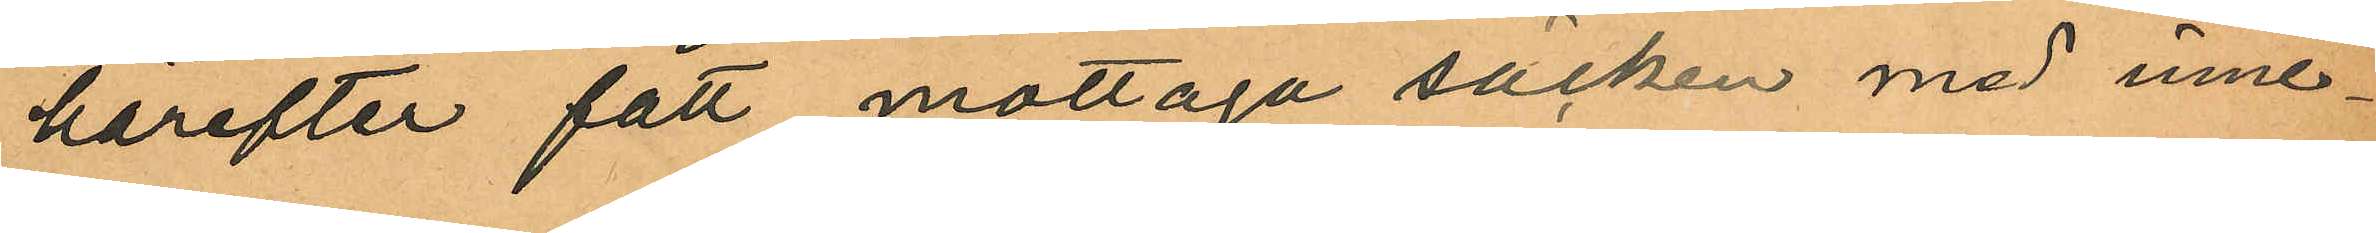härefter fått mottaga säcken med inne¬
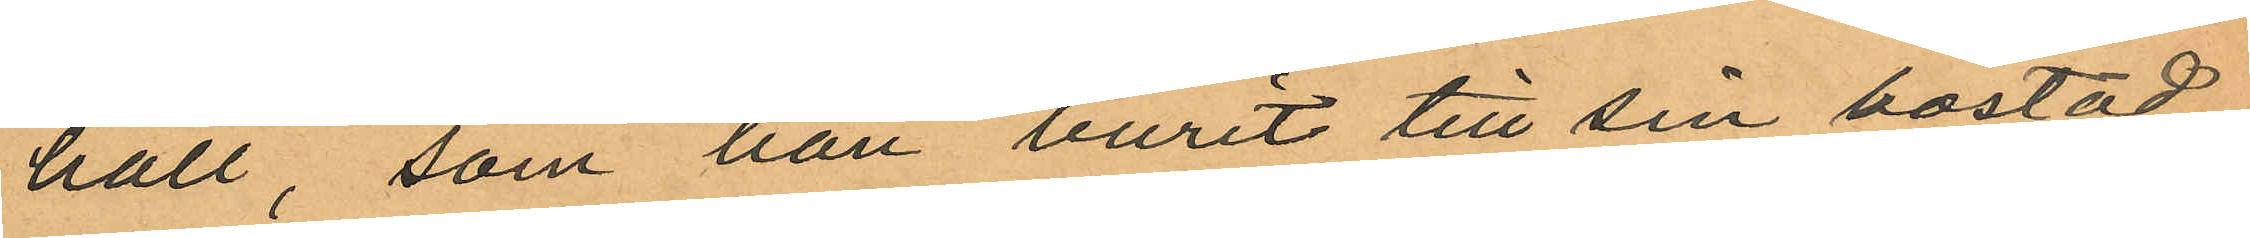håll, som han burit till sin bostad;
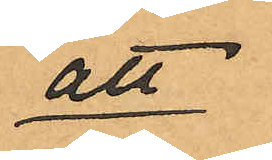att
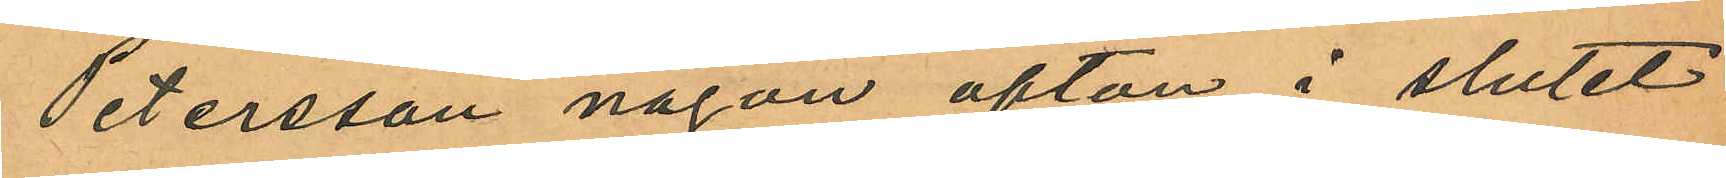Petersson någon afton i slutet
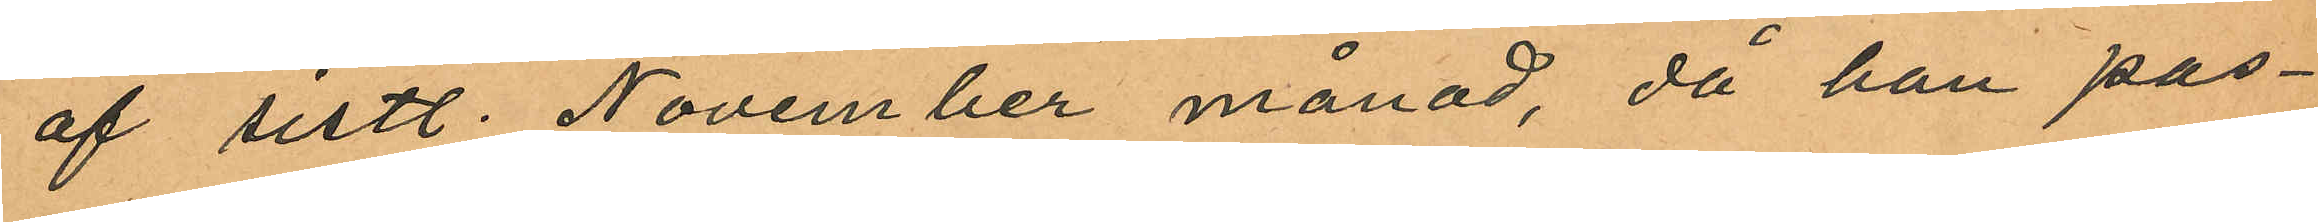af sistl. November månad, då han pas¬
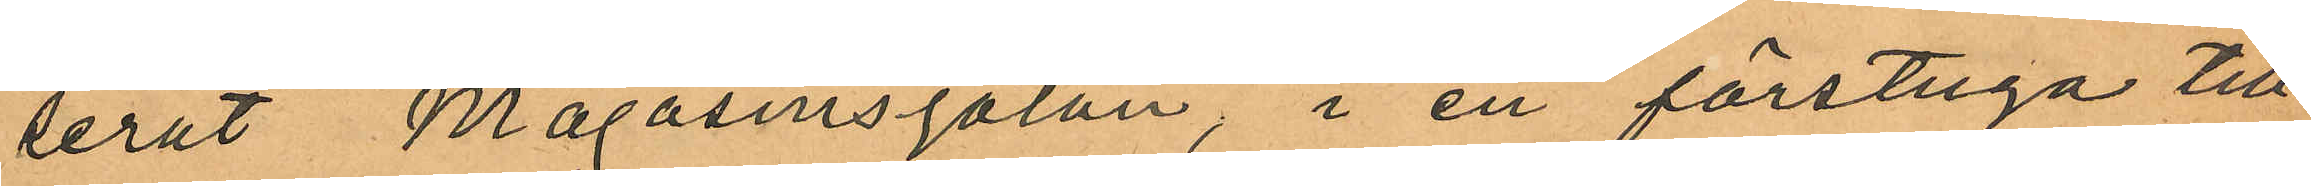serat Magasinsgatan, i en förstuga till
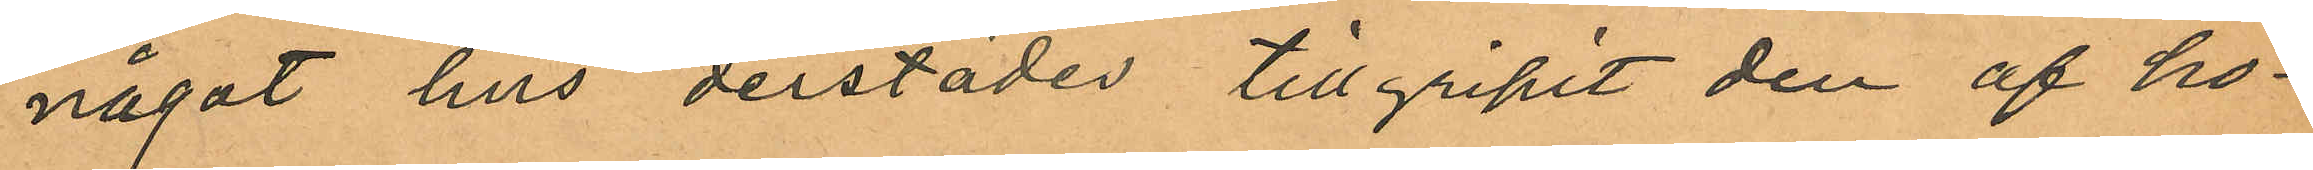något hus derstädes tillgripit den af ho¬
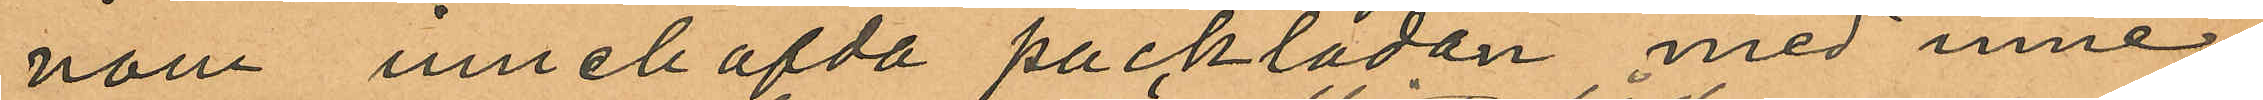nom innehafda packlådan med inne¬
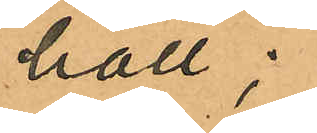håll;
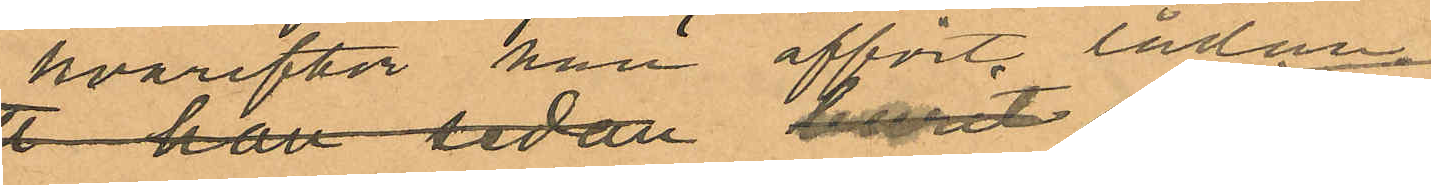hvarefter han affört lådan
